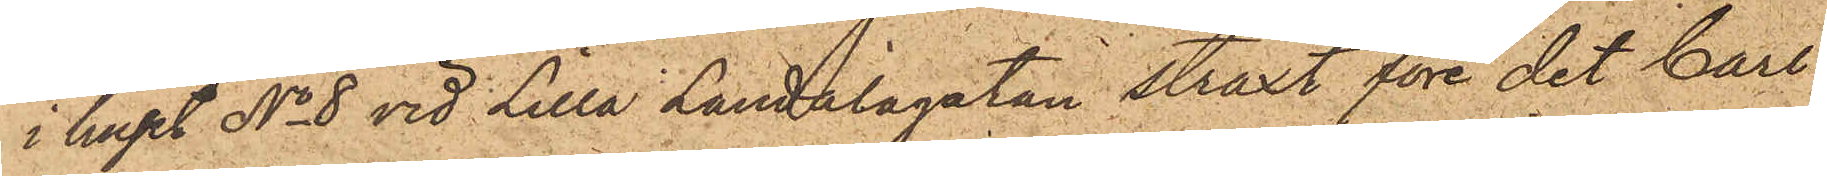i huset No 8 vid Lilla Landalagatan straxt före det Carl
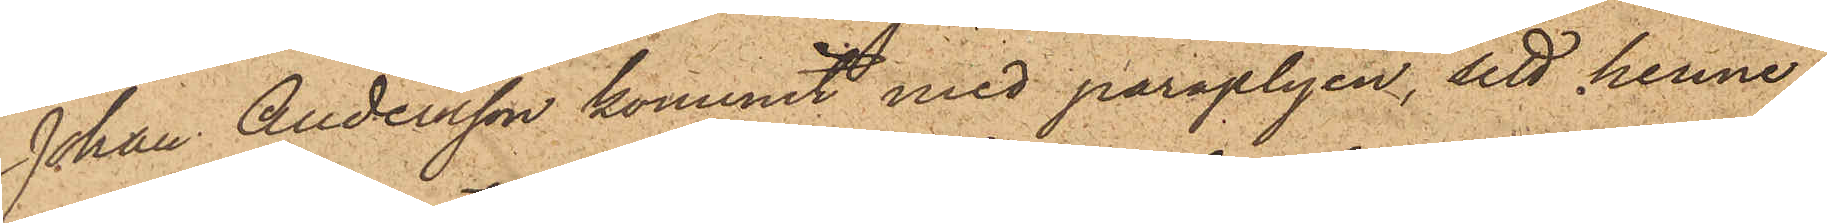Johan Andersson kommit med paraplyen, sett henne
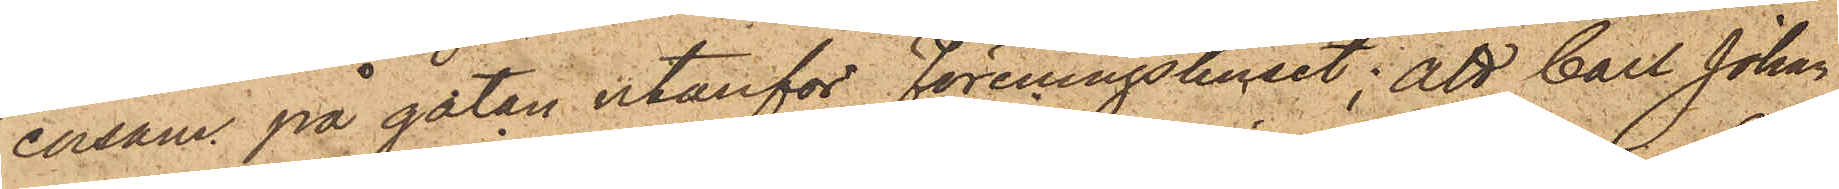ensam på gatan utanför Föreningshuset; att Carl Johan
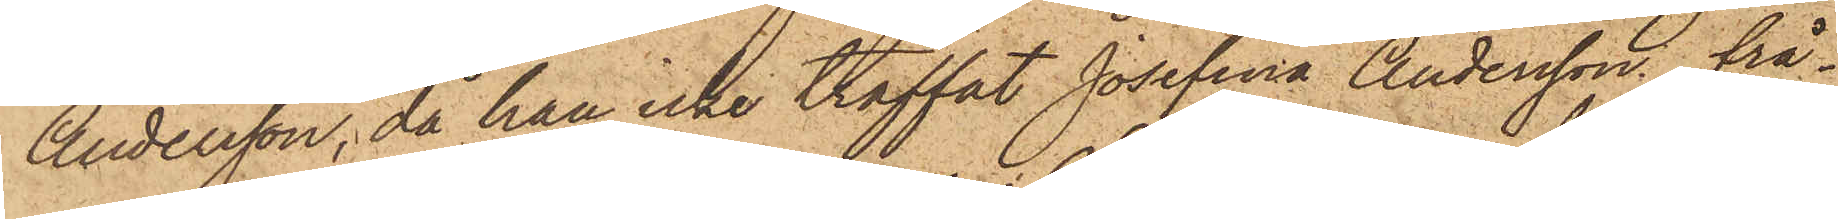Andersson, då han icke träffat Josefina Andersson, frå¬
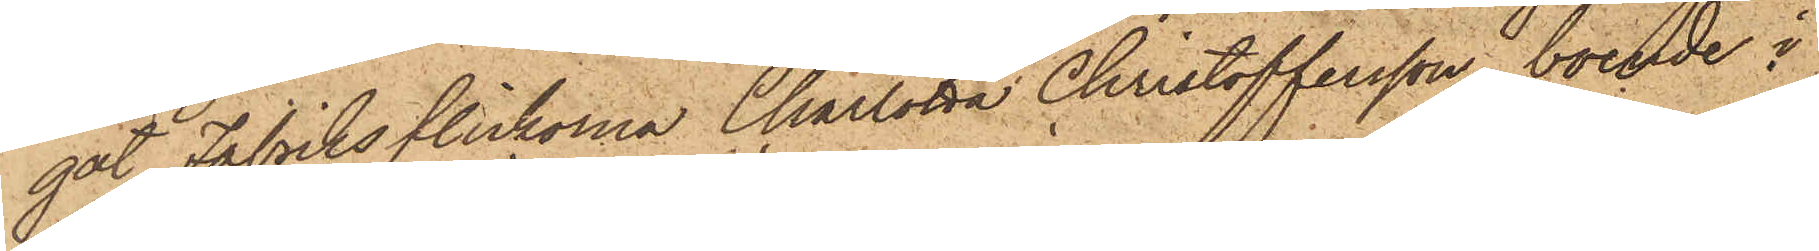gat Fabriksflickorna Charlotta Christoffersson, boende i
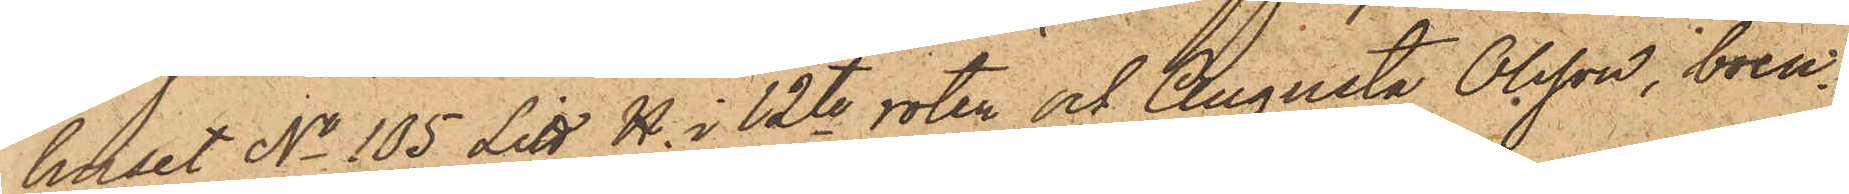huset No 105 Litt H. i 12te roter och Augusta Olsson, boen¬
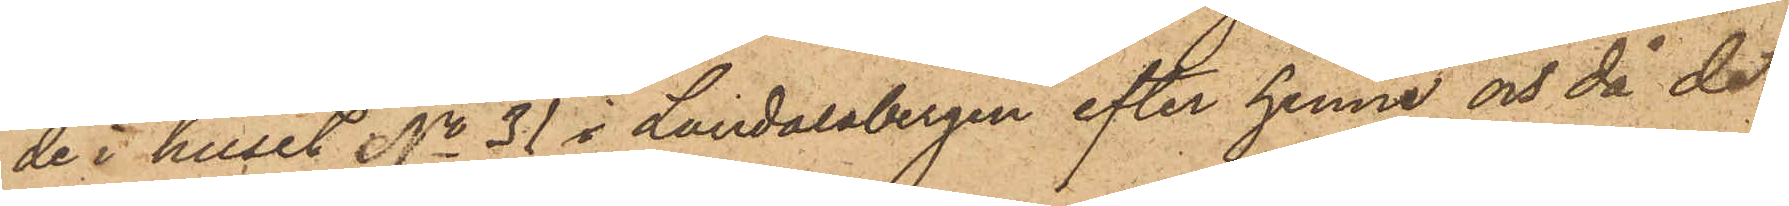de i huset No 31 i Landalabergen efter henne och då de
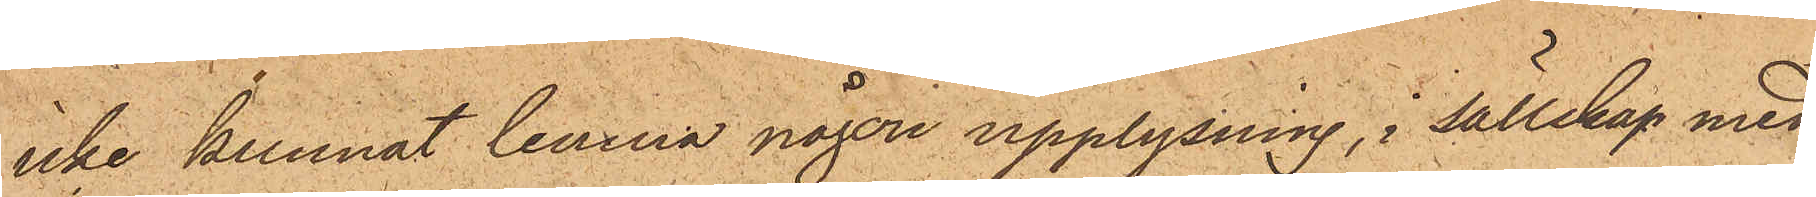icke kunnat lemna någon upplysning, i sällskap med
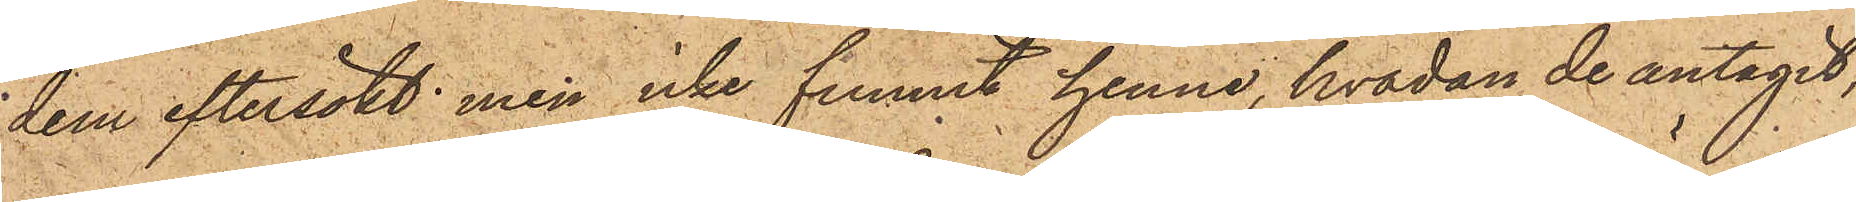dem eftersökt men icke funnit henne, hvadan de antagit,
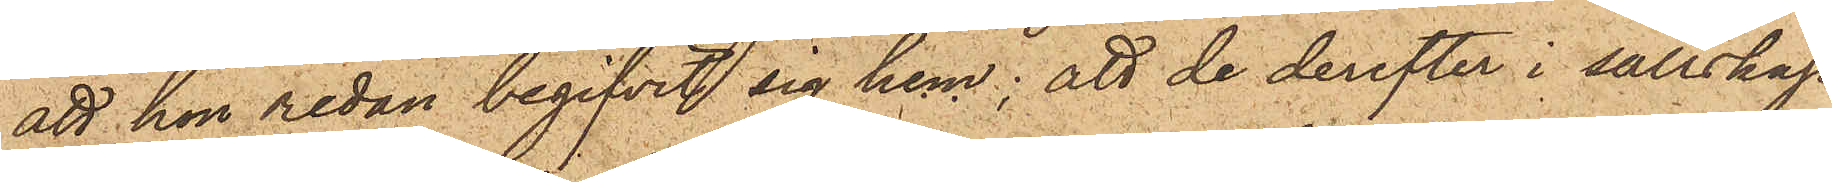att hon redan begifvit sig hem; att de derefter i sällskap
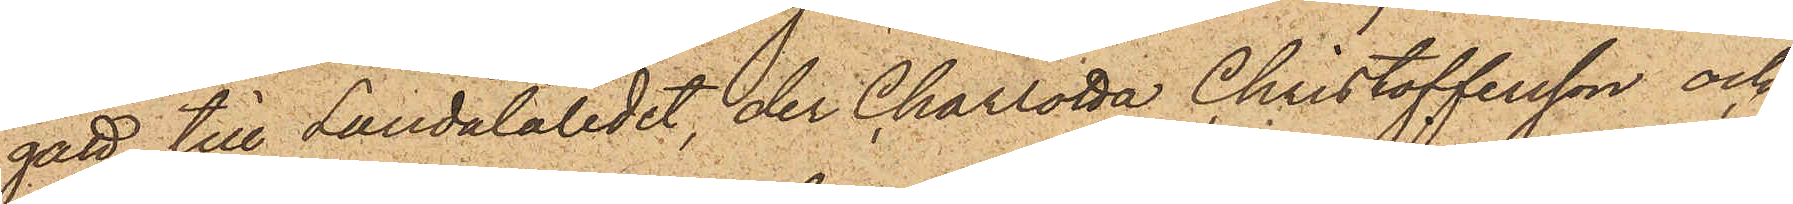gått till Landalaledet, der Charlotta Christoffersson och
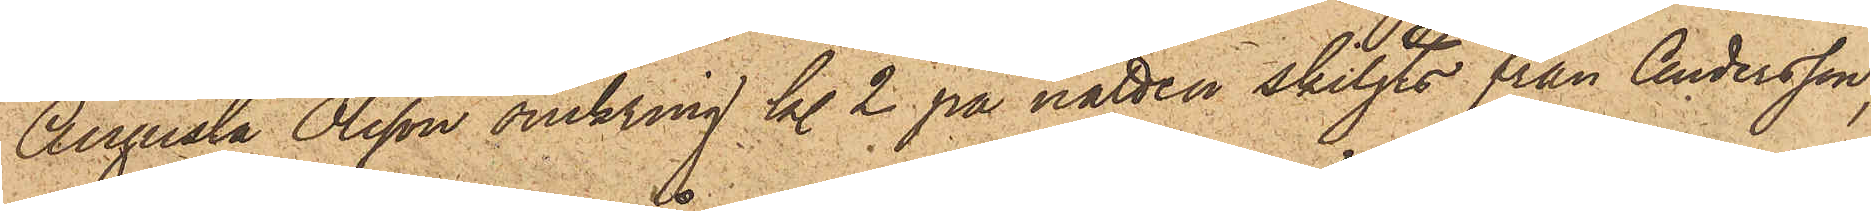Augusta Olsson omkring kl. 2 på natten skiljts från Andersson,
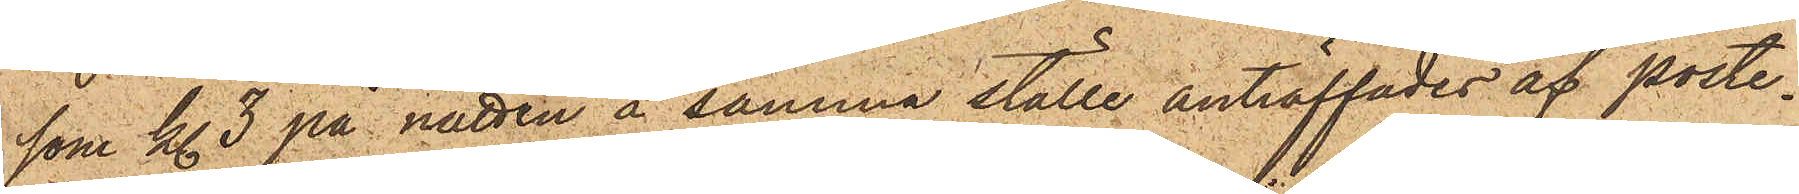som kl. 3 på natten å samma ställe anträffades af poste¬
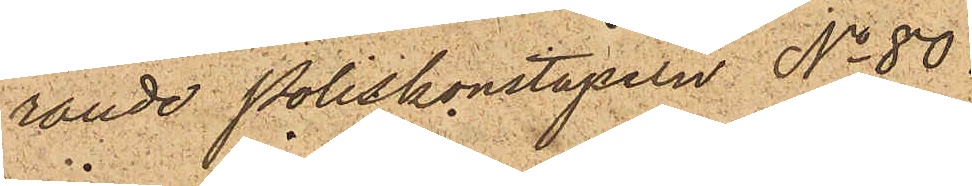rande Poliskonstapeln No 80
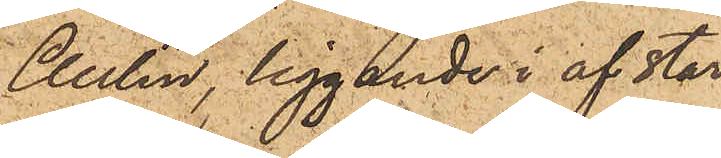Aulin, liggande i af star¬
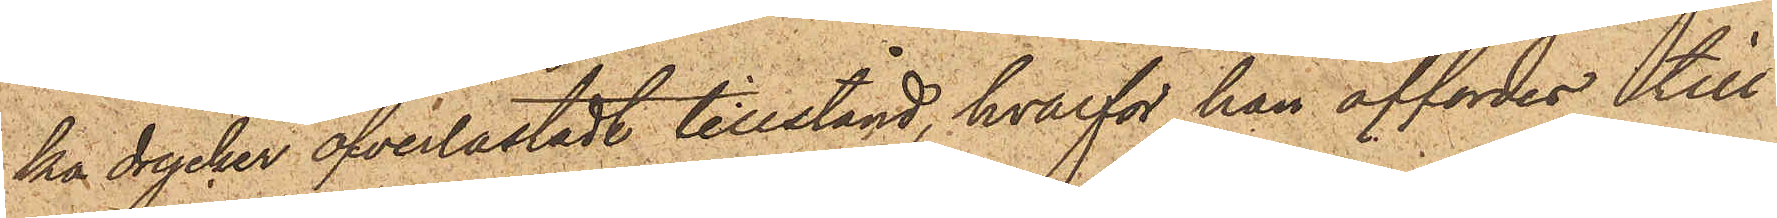ka drycker öfverlastadt tillstånd, hvarför han affordes till
